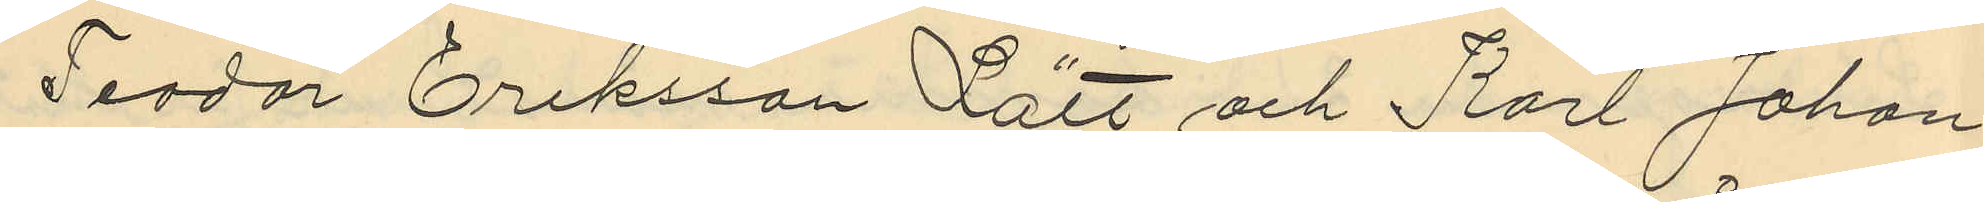Teodor Eriksson Lätt och Karl Johan
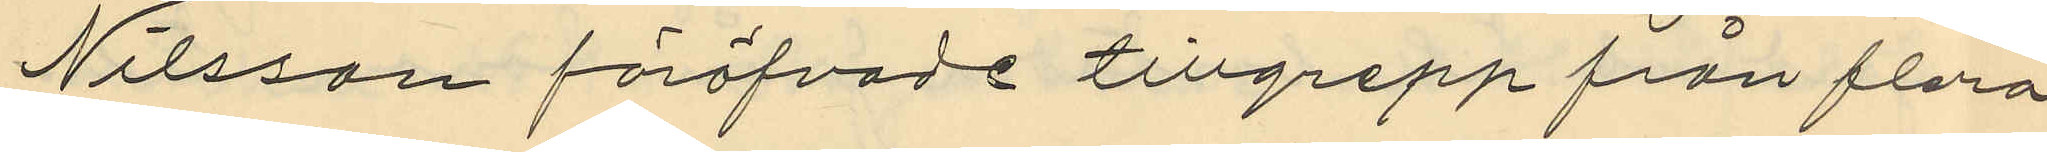Nilsson föröfvade tillgrepp från flera
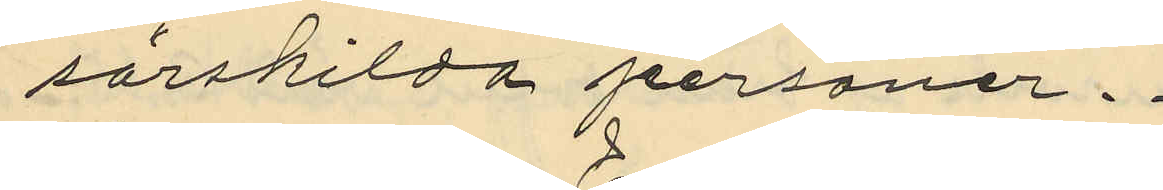särskilda personer.
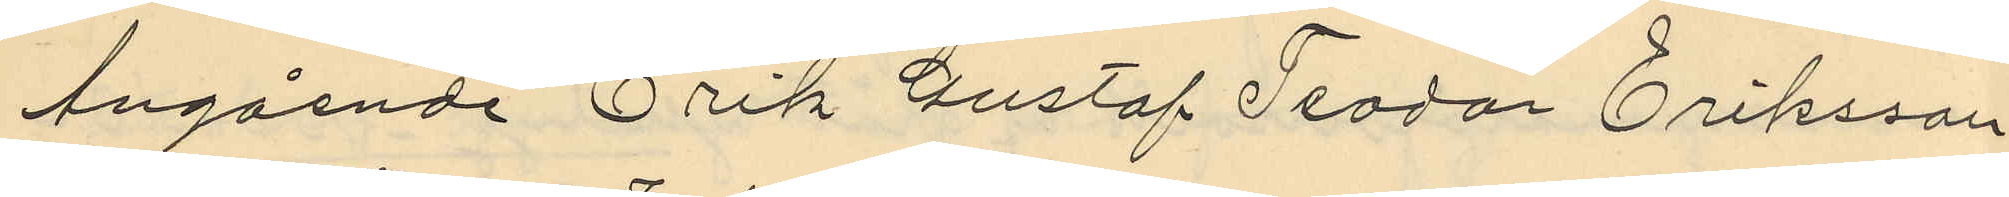Angående Erik Gustaf Teodor Eriksson
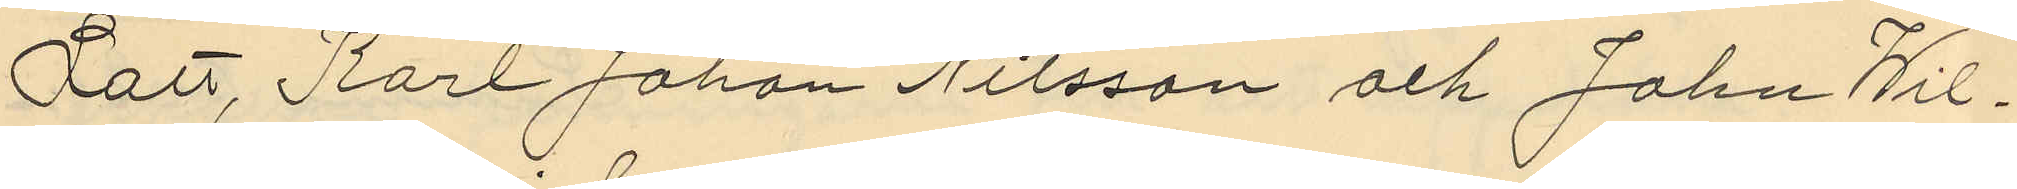Lätt, Karl Johan Nilsson och John Wil¬
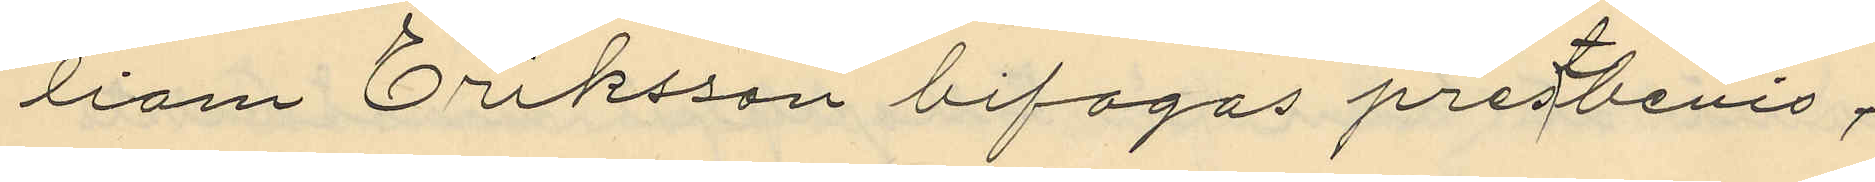liam Eriksson bifogas prestbevis;
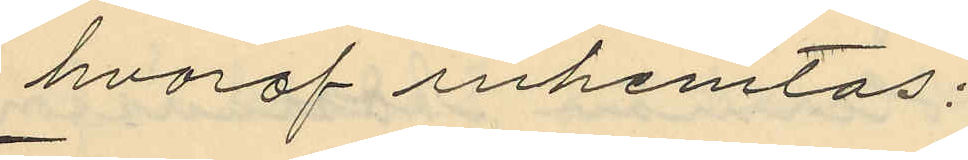hvaraf inhemtas:
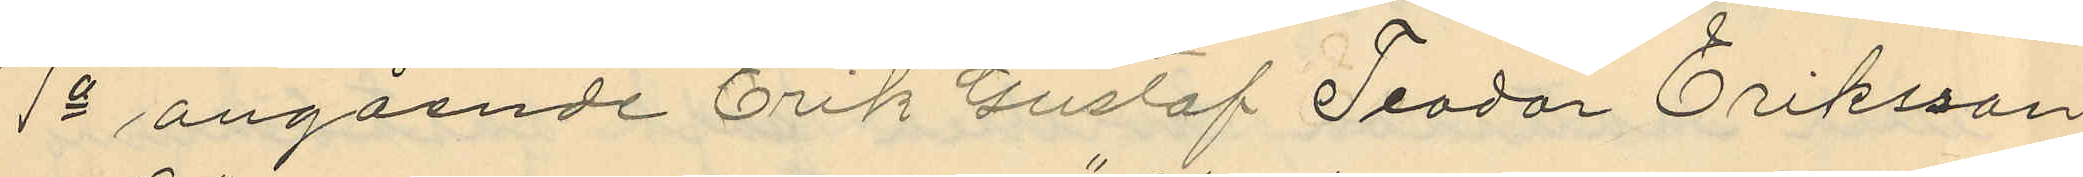1o angående Erik Gustaf Teodor Eriksson
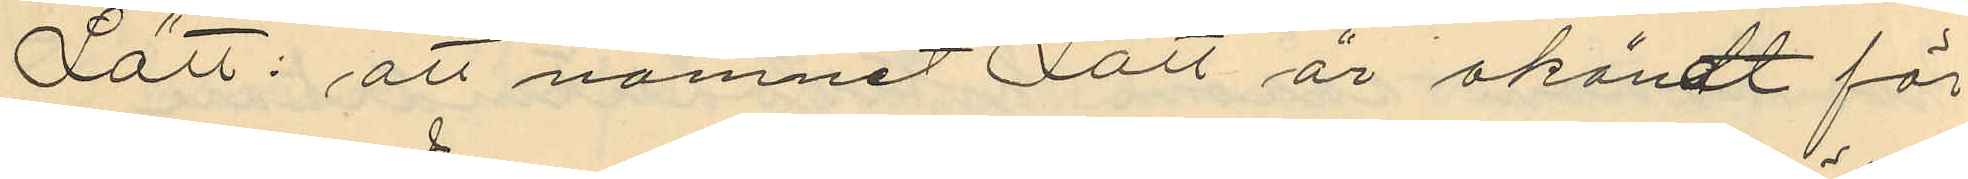Lätt: att namnet Lätt är okändt för
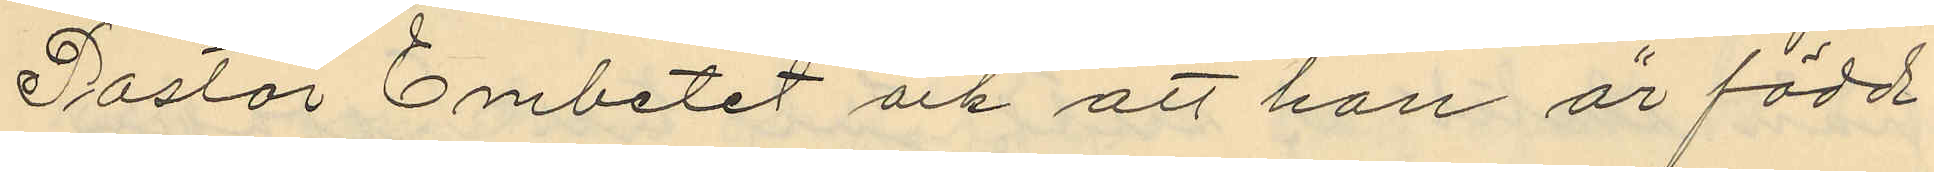Pastor Embetet och att han är född
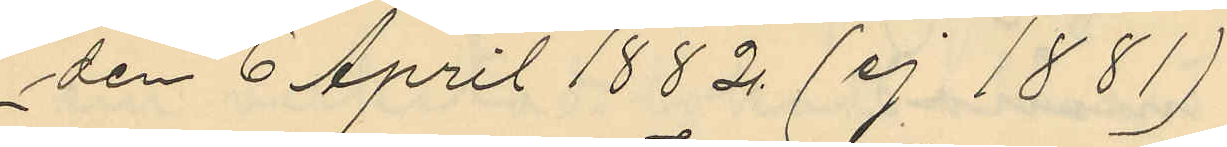den 6 April 1882. (ej 1881)
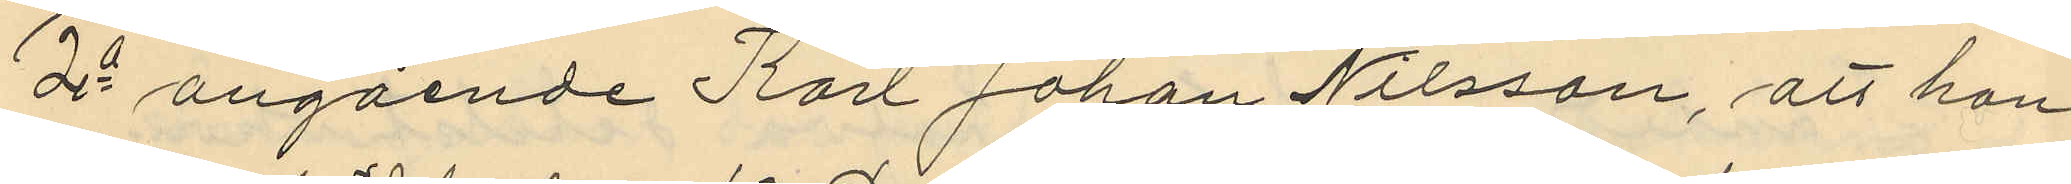2o angående Karl Johan Nilsson, att han
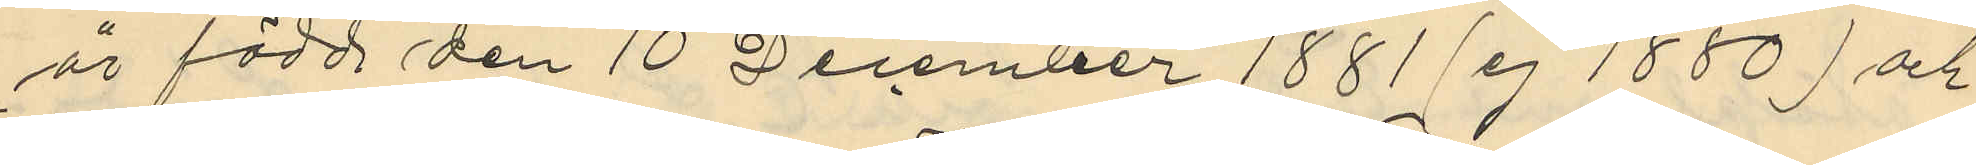är född den 10 December 1881 (ej 1880) och
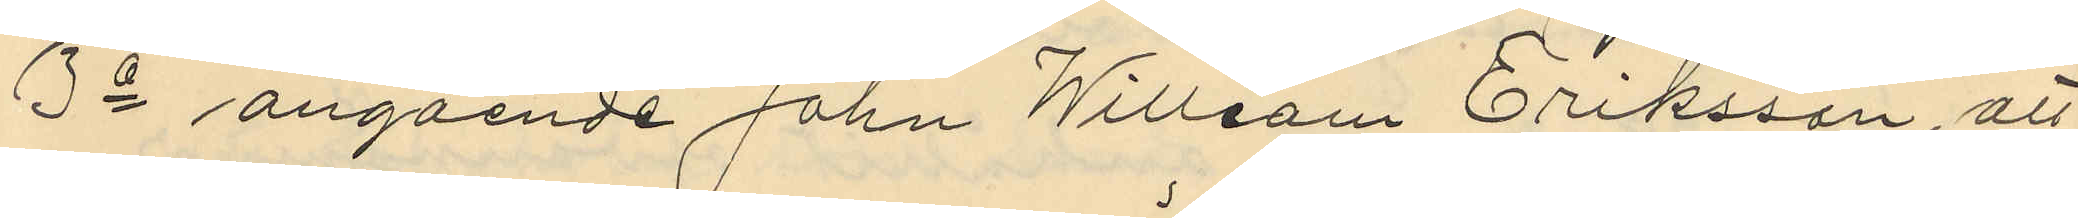3o angående John William Eriksson, att
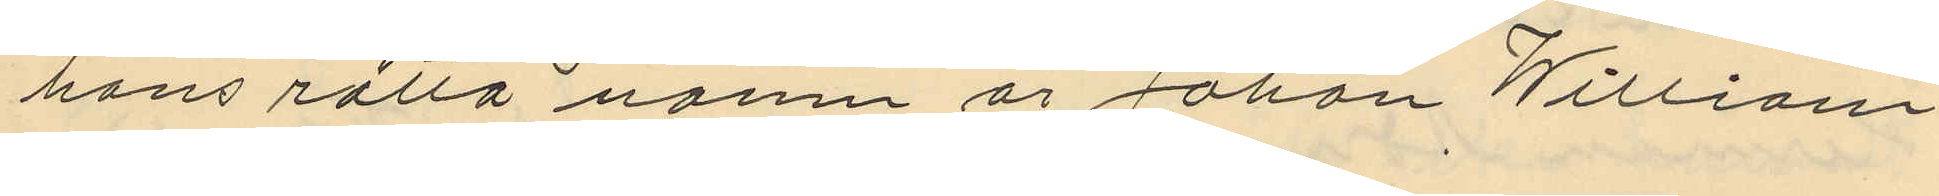hans rätta namn är Johan William
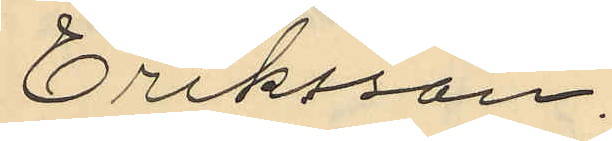Eriksson.
